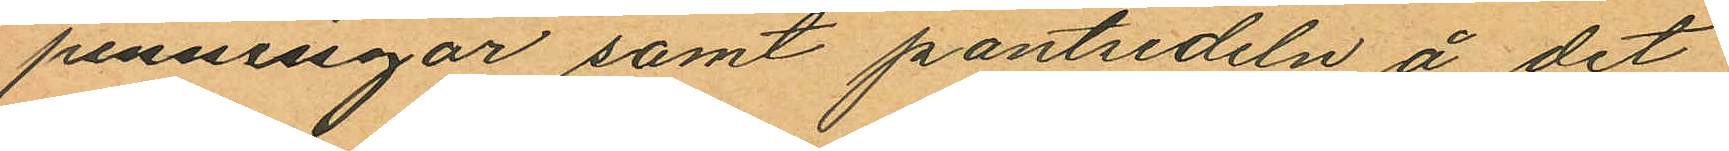penningar samt pantsedeln å det
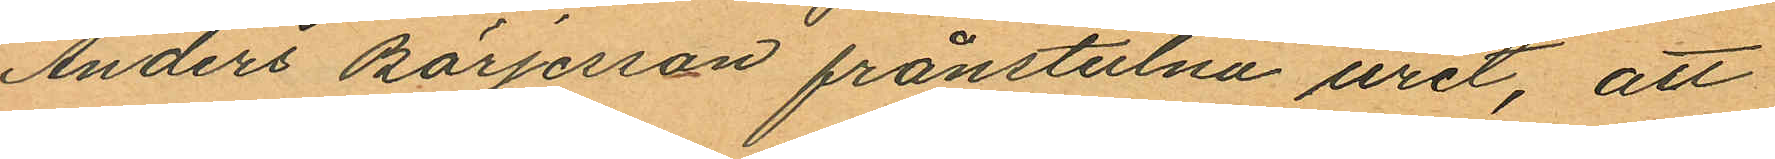Anders Börjesson frånstulna uret, att
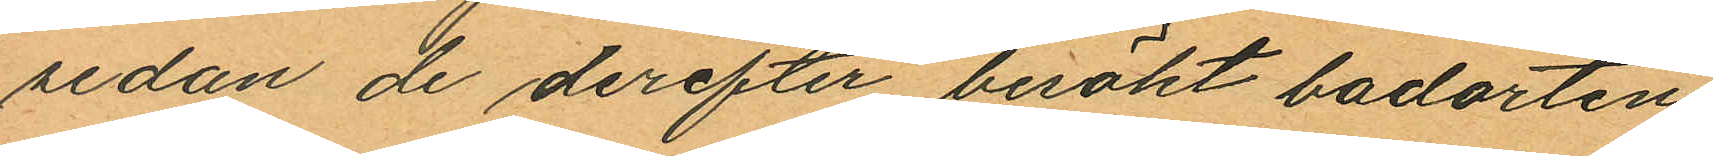sedan de derefter besökt badorten
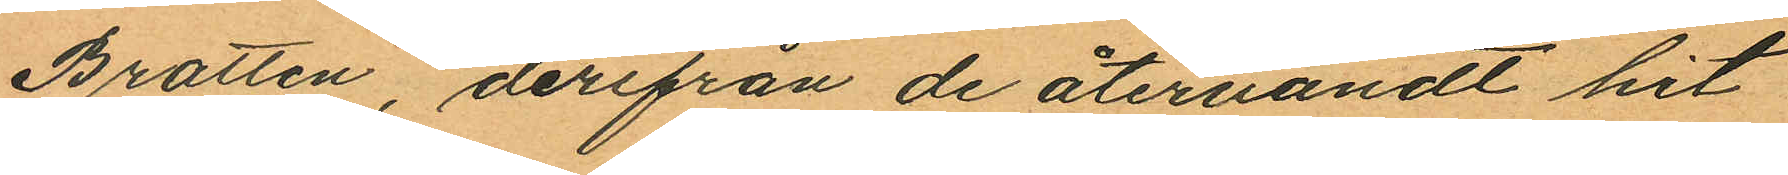Bratten, derifrån de återvändt hit
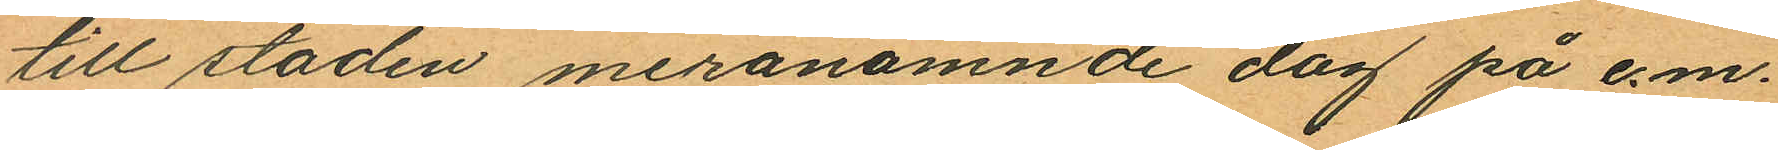till staden meranämnde dag på e.m.
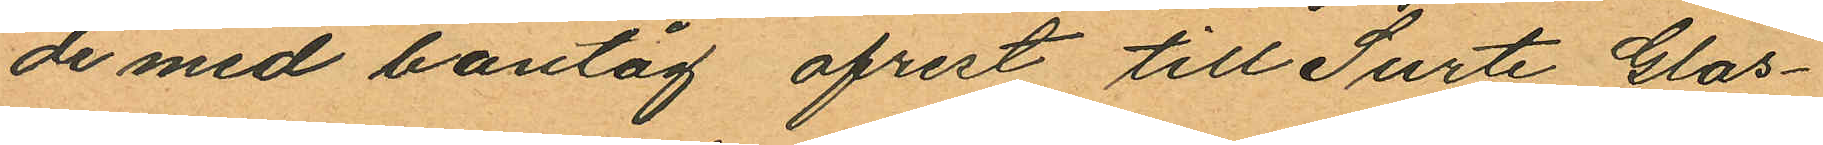de med bantåg afrest till Surte Glas¬
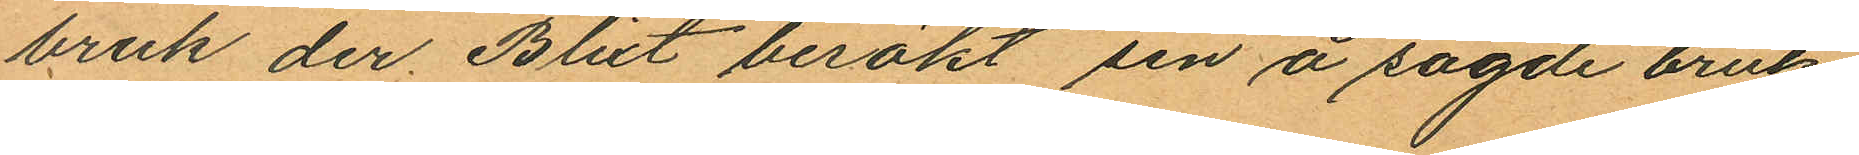bruk der Blixt besökt sin å sagde bruk
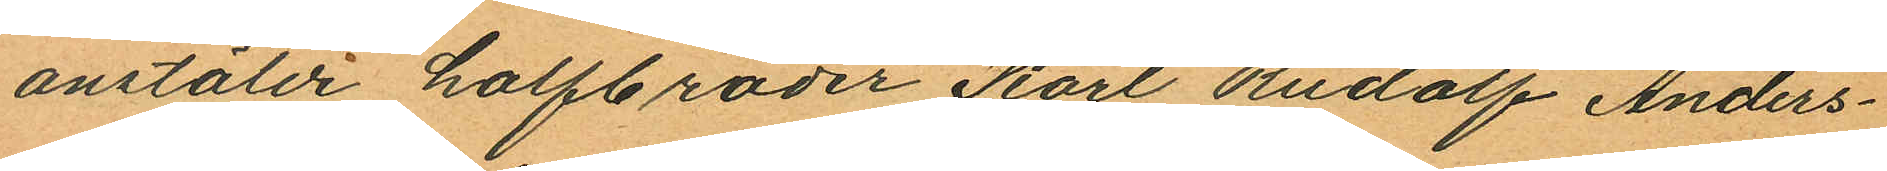anstälde halfbroder Karl Rudolf Anders¬
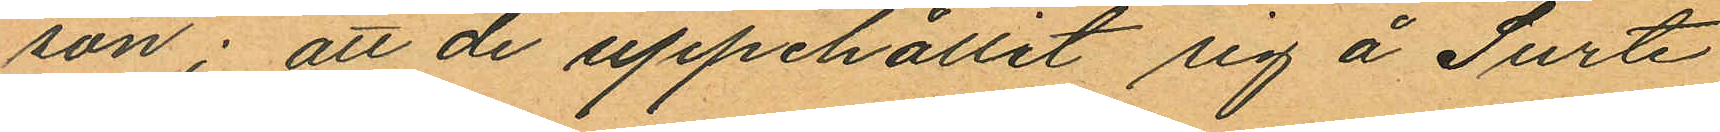son; att de uppehållit sig å Surte
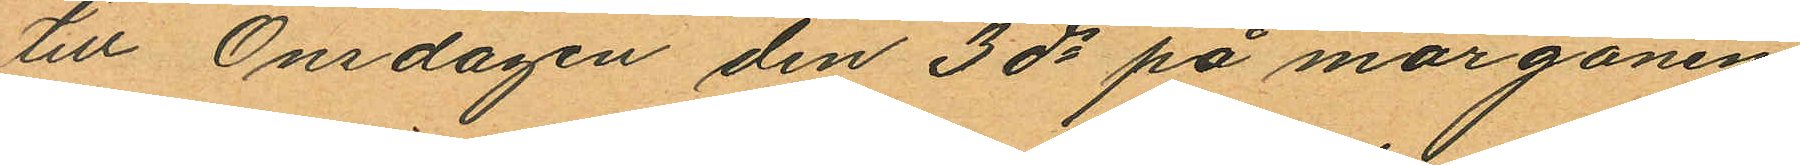till Onsdagen den 3 ds på morgonen
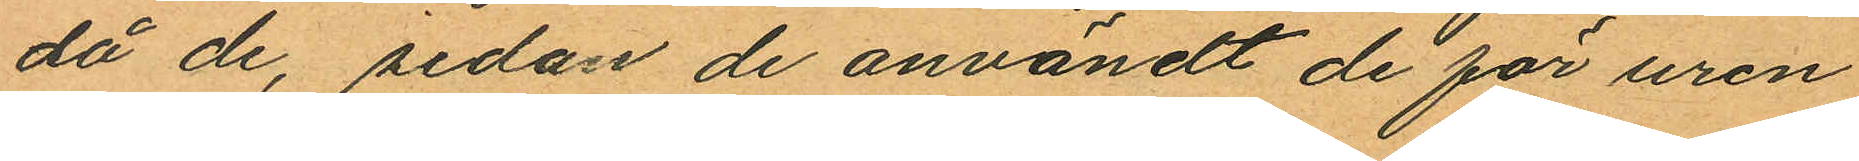då de, sedan de användt de för uren
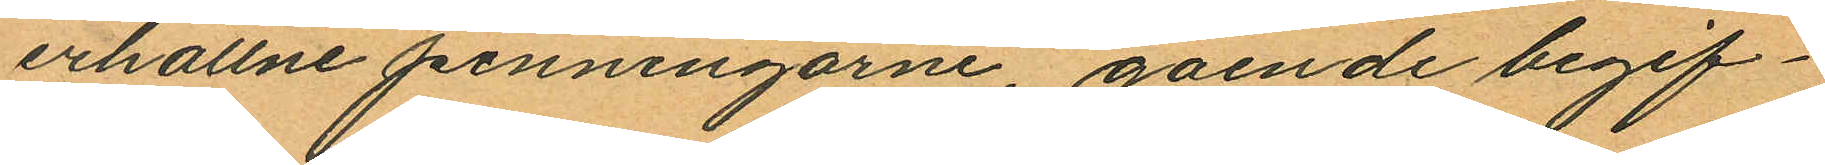erhållne penningarne, gående begif¬
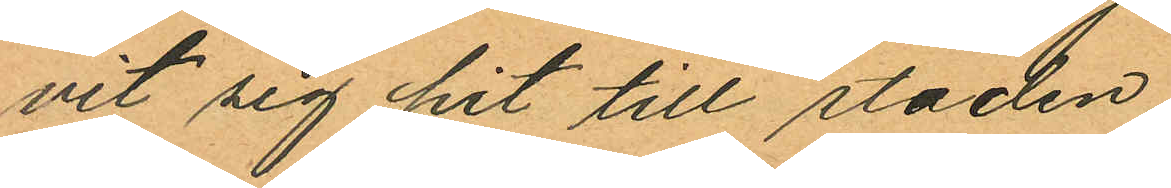vit sig hit till staden.
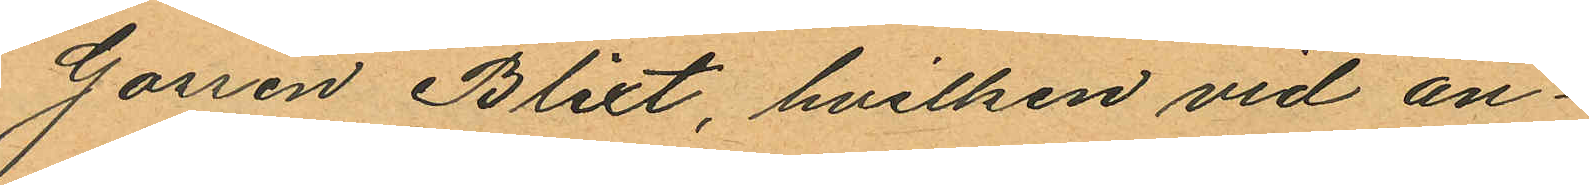Gossen Blixt, hvilken vid an¬
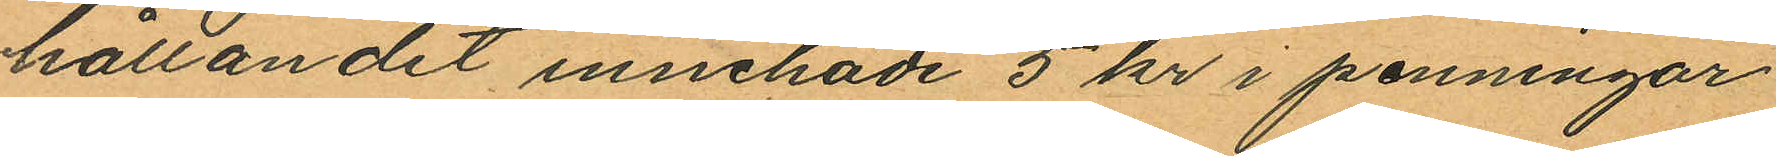hållandet innehade 5 kr i penningar
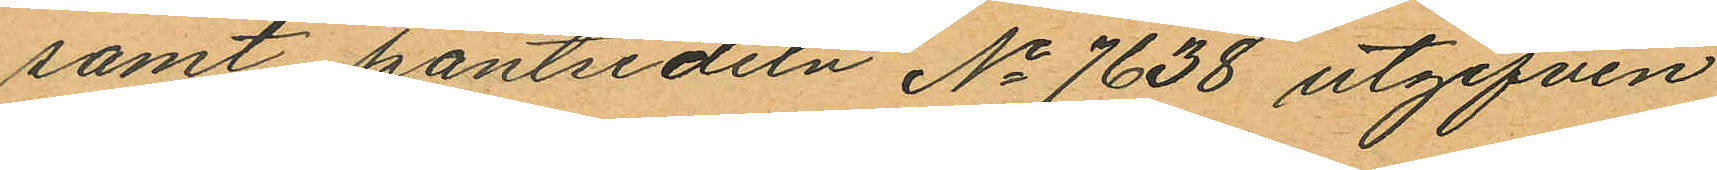samt pantsedeln No 7638 utgifven
